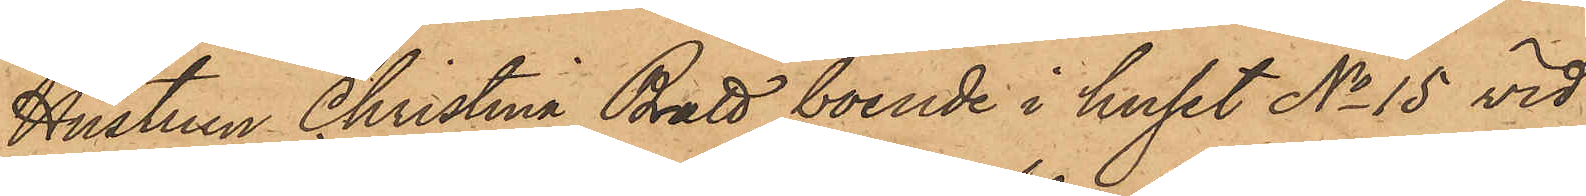Hustrun Christina Bratt boende i huset No 15 vid
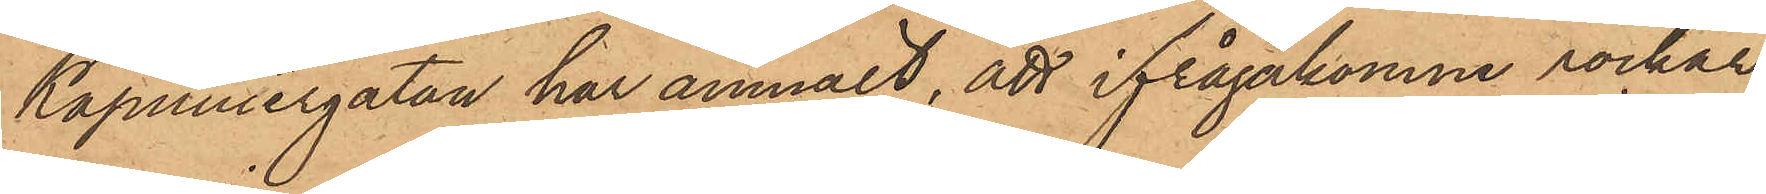Kapuniergatan har anmält, att ifrågakomne rockar,
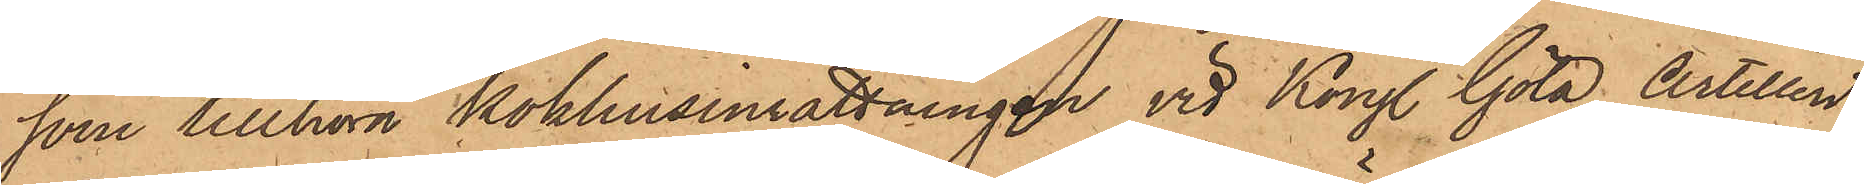som tillhöra kokhusinrättningen vid Kongl. Göta Artilleri¬
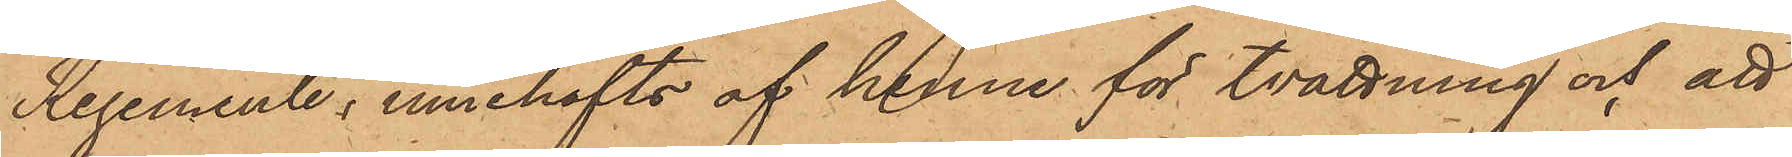Regemente, innehafts af henne för tvättning och att
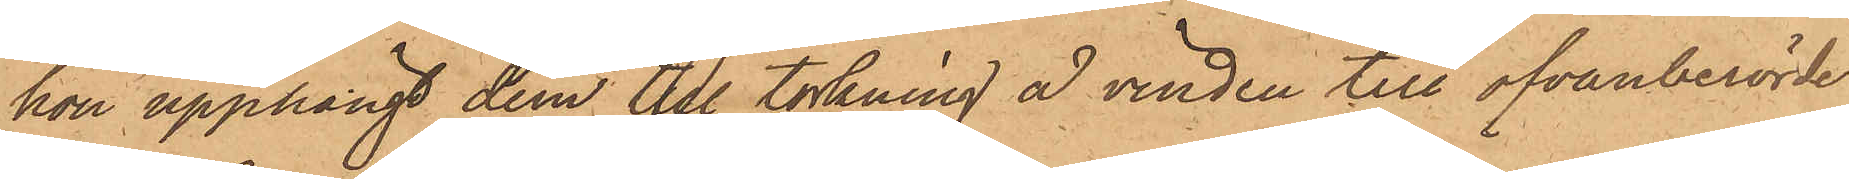hon upphängt dem till torkning å vinden till ofvanberörde
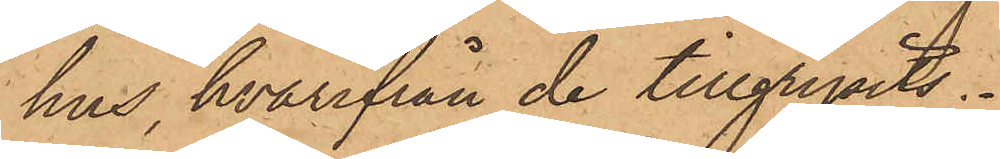hus, hvarifrån de tillgripits.
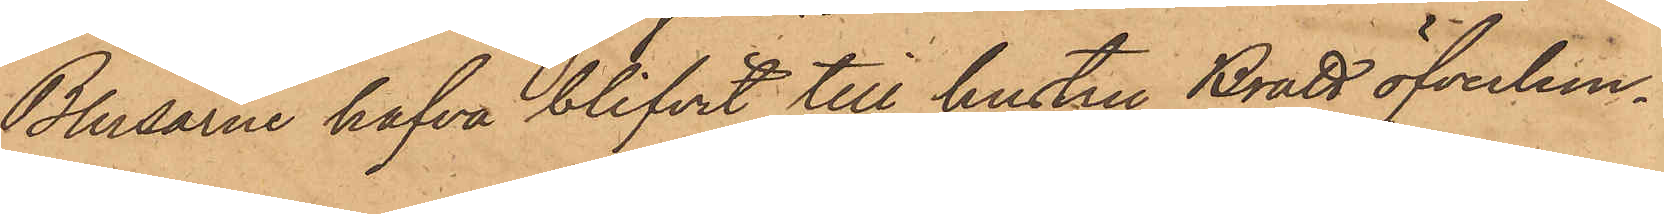Blussarne hafva blifvit till hustru Bratt öfverlem¬
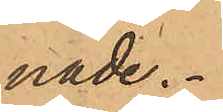nade.
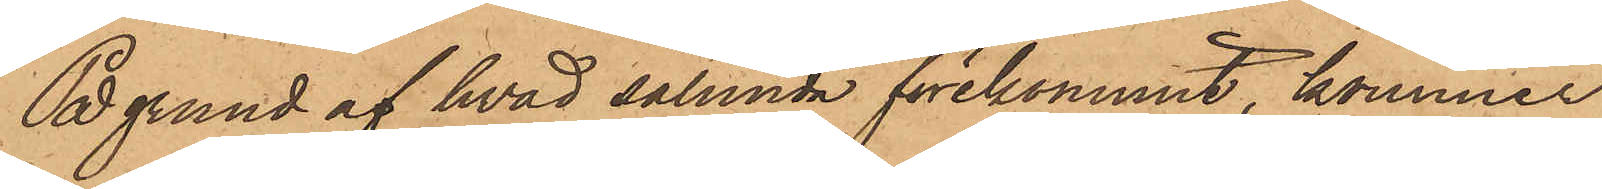På grund af hvad sålunda förekommit, kommer
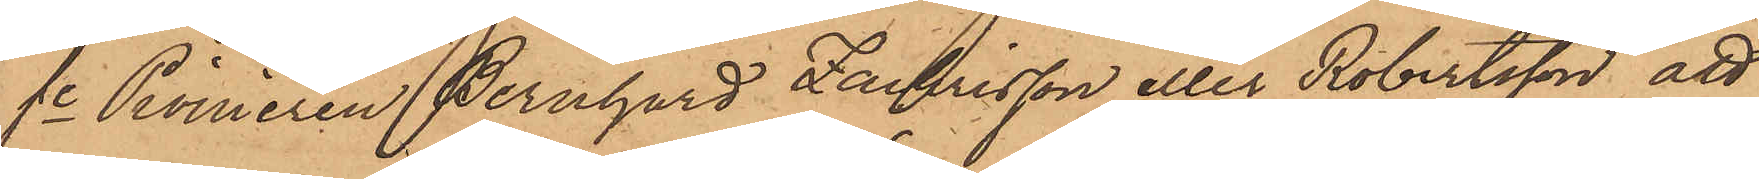fe Pionieren Bernhard Zachrisson eller Robertsson, att
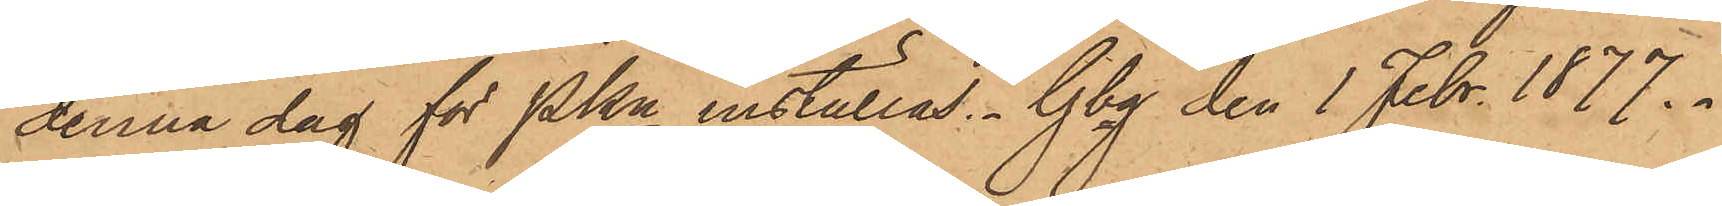denna dag för PKn inställas. Gbg den 1 Febr. 1877.
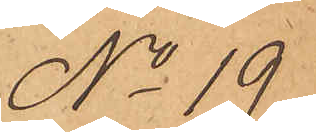No 19
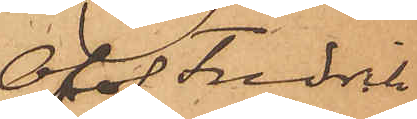Olof Fredrik
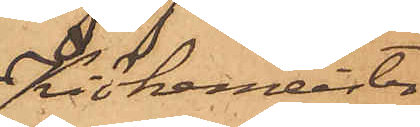Kiökemeister
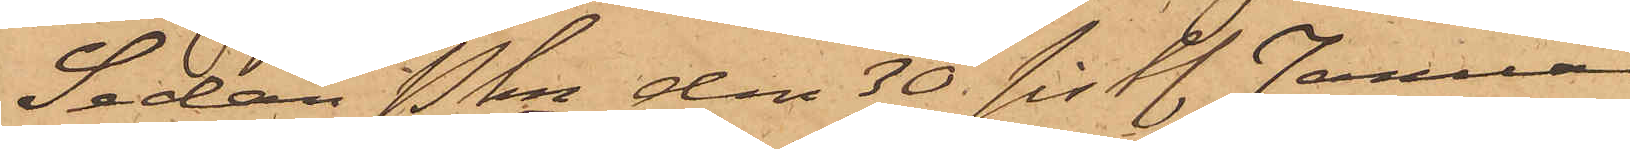Sedan Pkn den 30 sistl. Januari
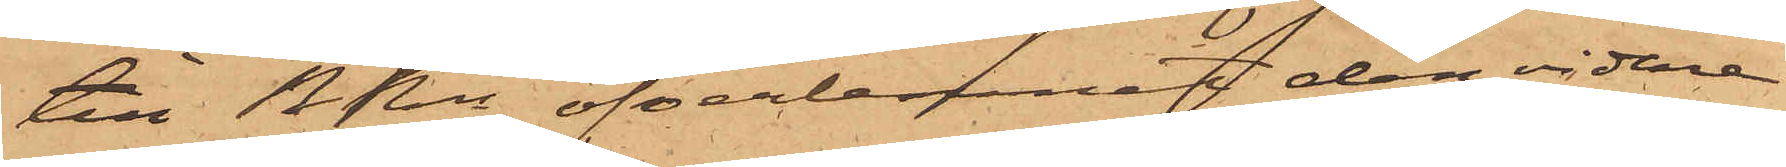till RRn öfverlemnat den vidare
